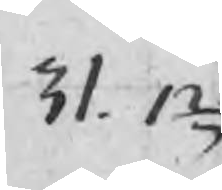31. 12
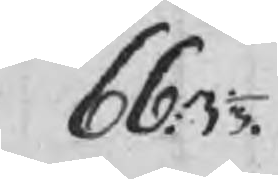66: 3 1/3
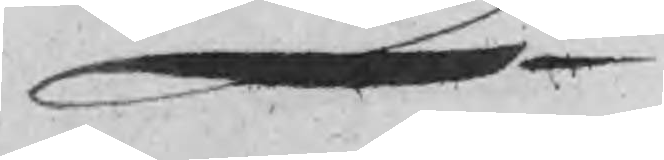Sa
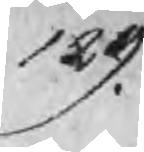129
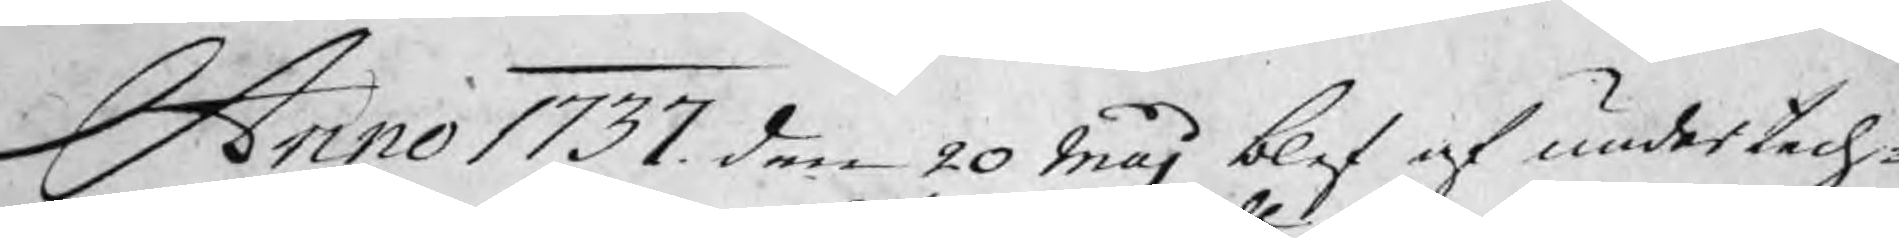Anno 1737 den 20 Maj blef af undertech¬
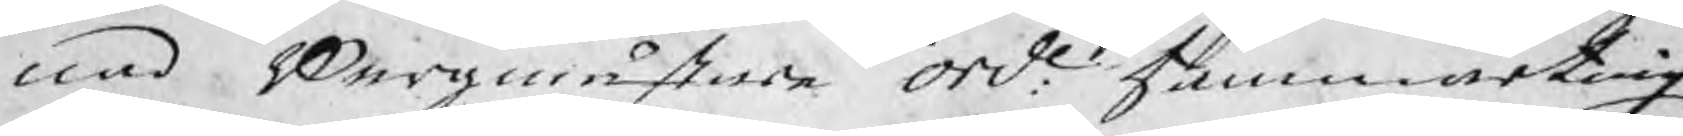nad Bergmästare orde: hammarting
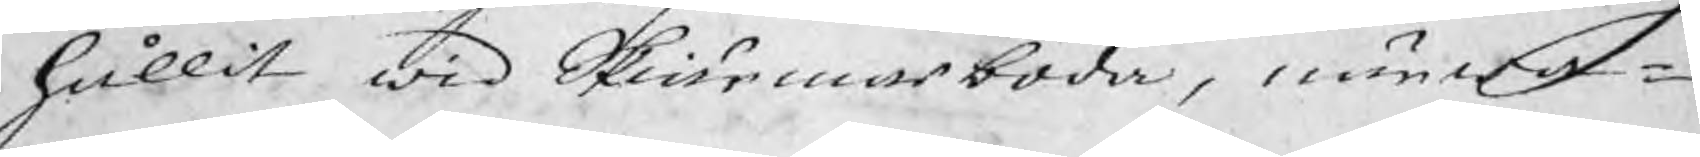hållit wid Skiärmarboda, närwa¬
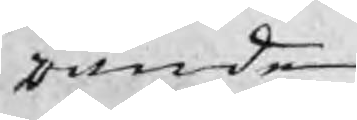rande
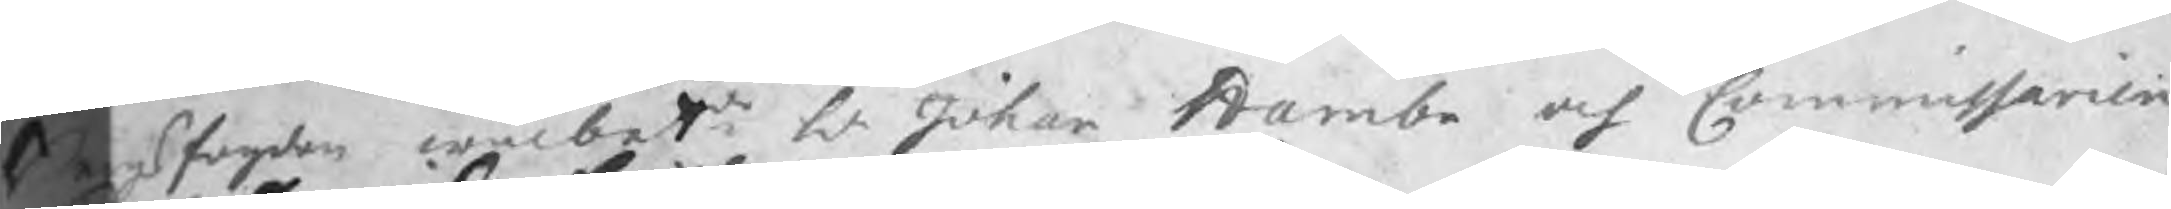Bergsfogden wälbetde Hr Johan Hambe och Commissarien
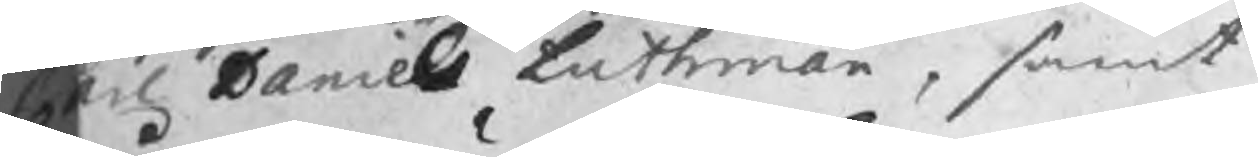Carl Daniel Luthman, samt
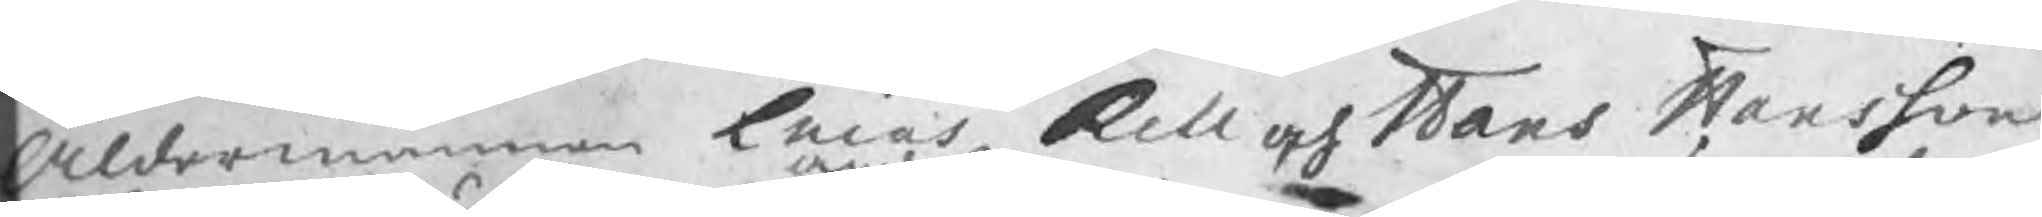Åldermännen Lucas Rell och Hans Hansson
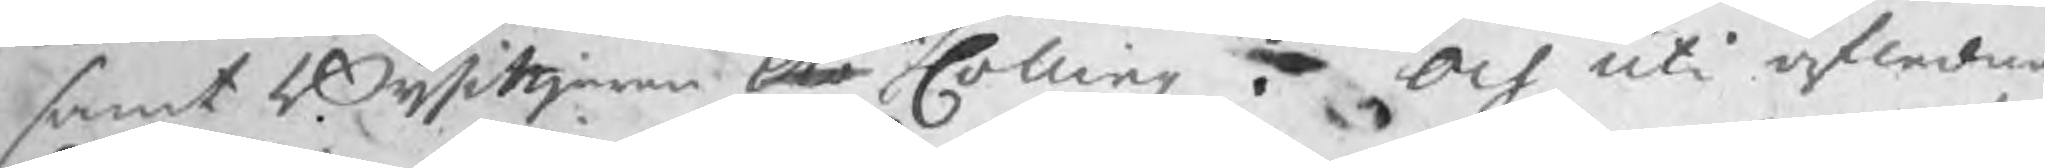samt Bijsittjaren Olo Colling . Och uti afledna
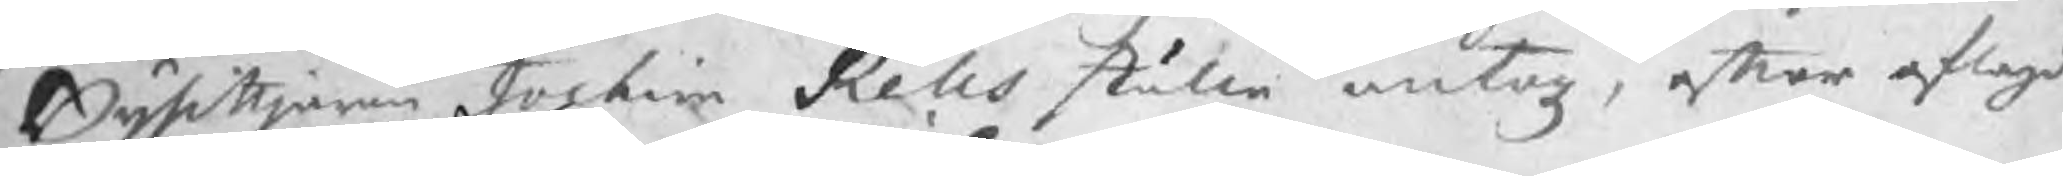Bijsittjaren Jochim Rells ställe antogz, efter aflagd
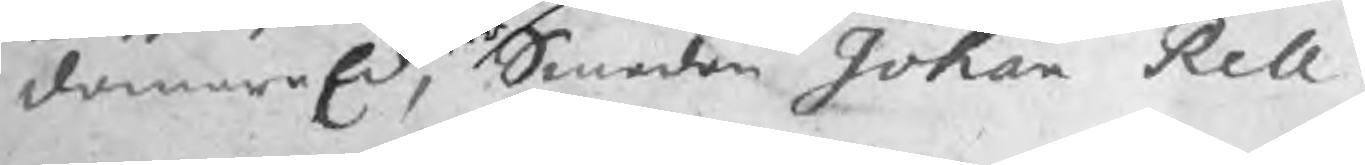domareEd, Smeden Johan Rell.
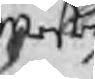Mester
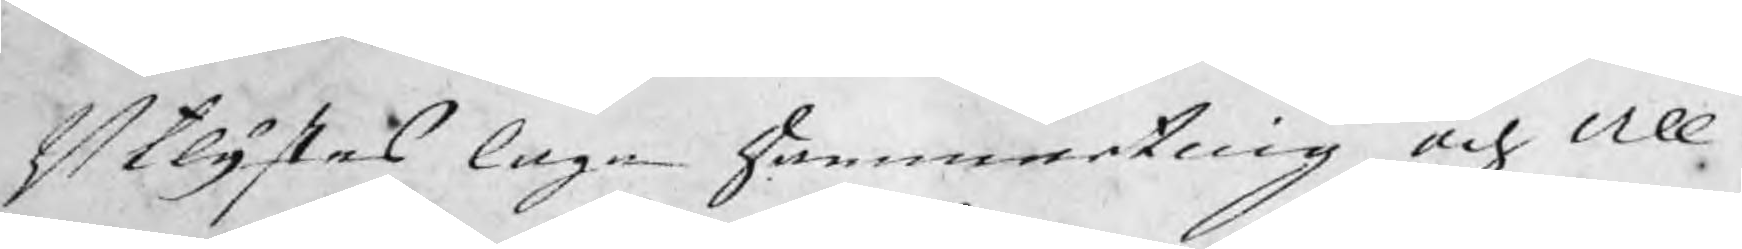Utlystes laga Hammarting och All¬
